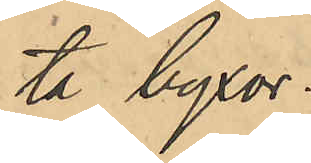ta byxor.
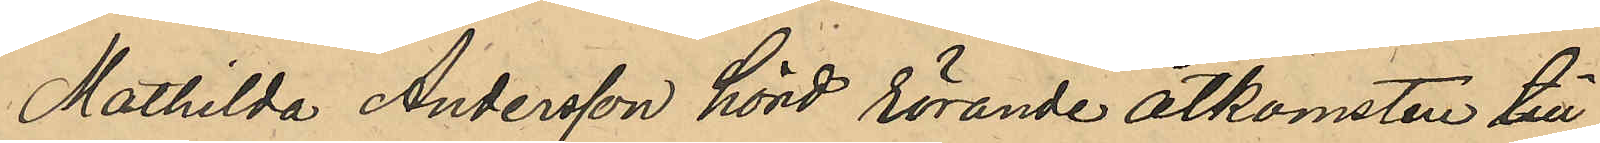Mathilda Andersson hörd rörande åtkomsten till
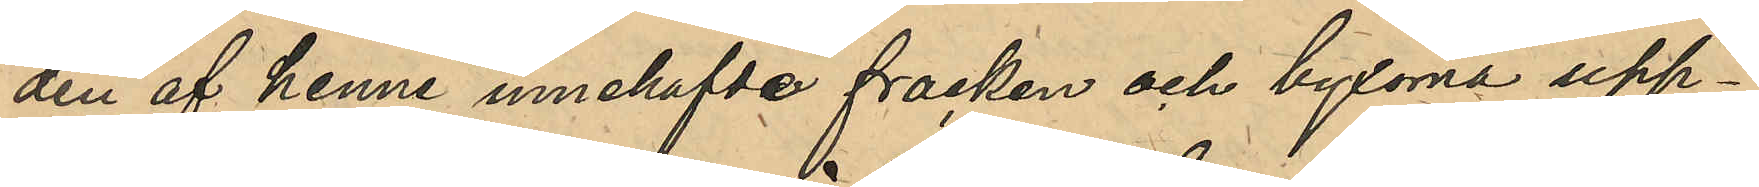den af henne innehafvde fracken och byxorna upp¬
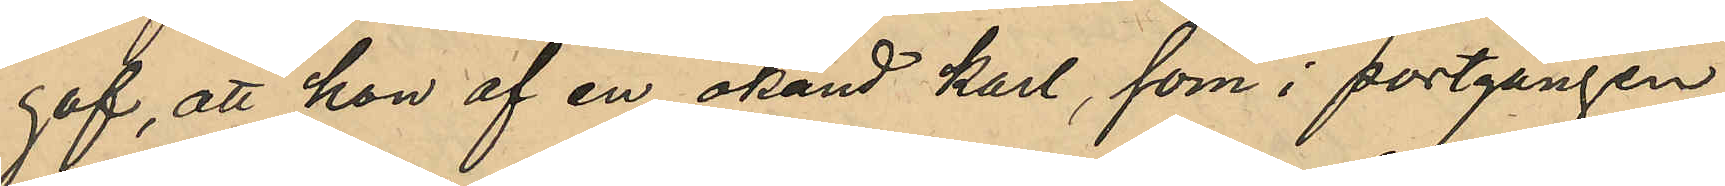gaf, att hon af en okänd karl, som i portgången
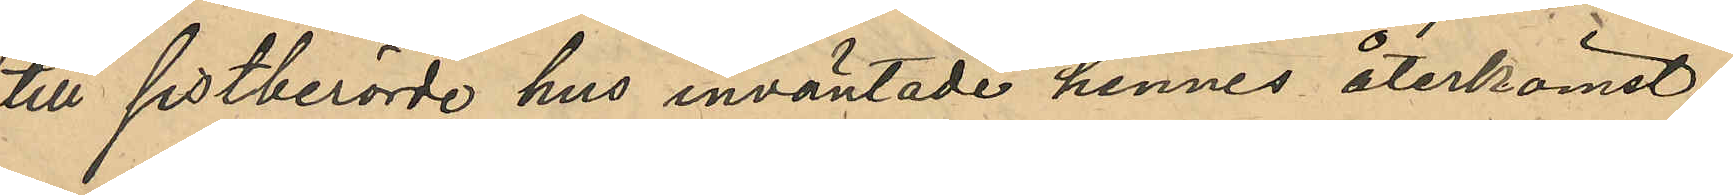till sistberörde hus inväntade hennes återkomst,
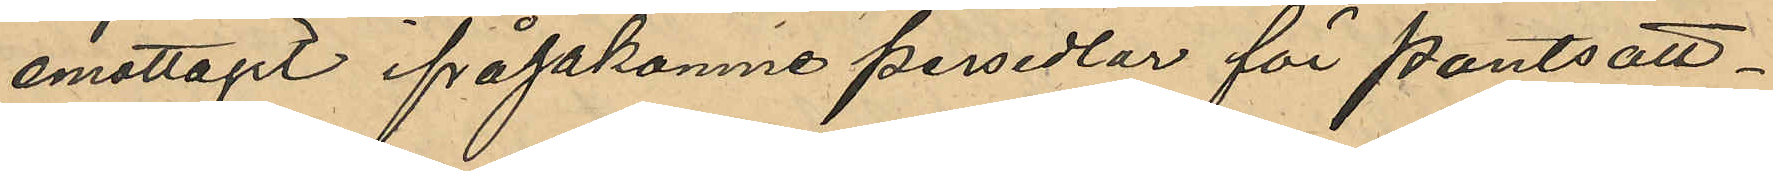emottagit ifrågakomne persedlar för pantsatt¬
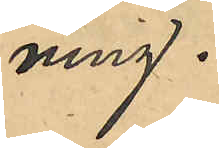ning.
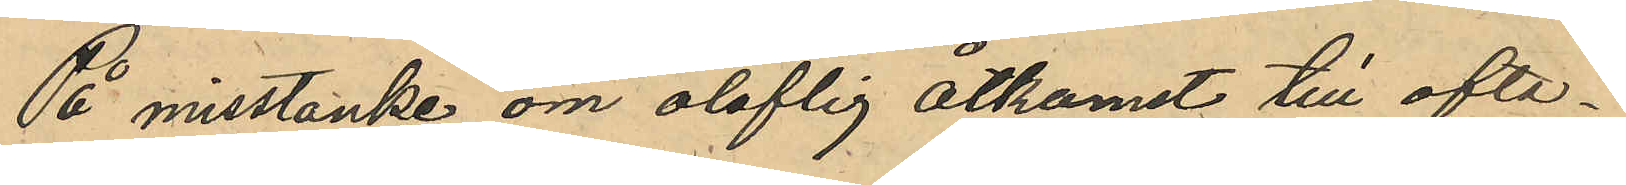På misstänke om oloflig åtkomst till ofta¬
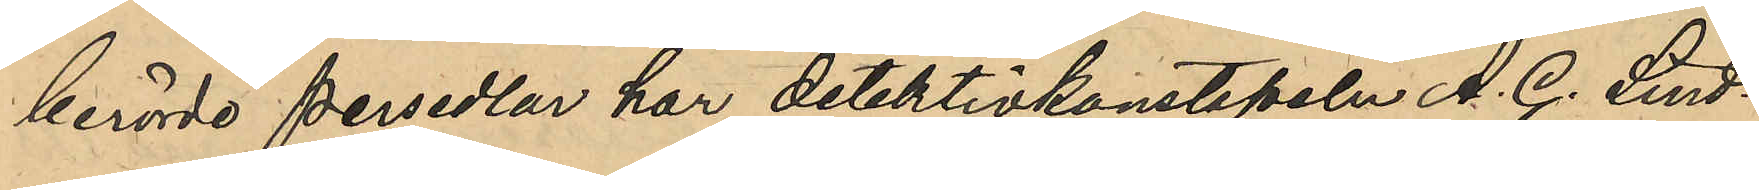berörde persedlar har detektivkonstapeln A. G. Lind¬
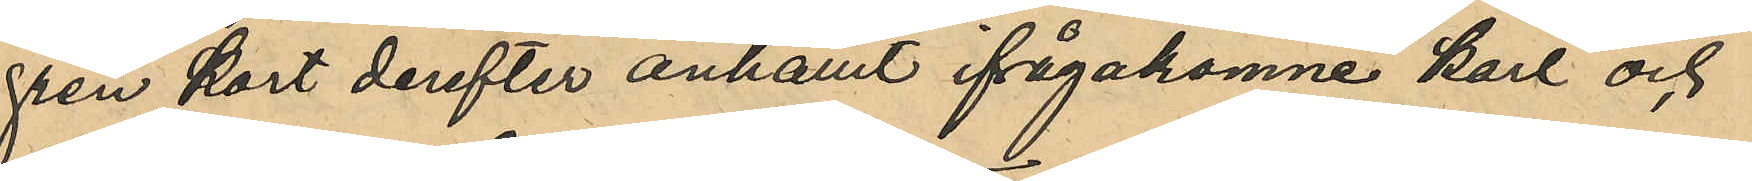gren kort derefter anhållit ifrågakomne karl och
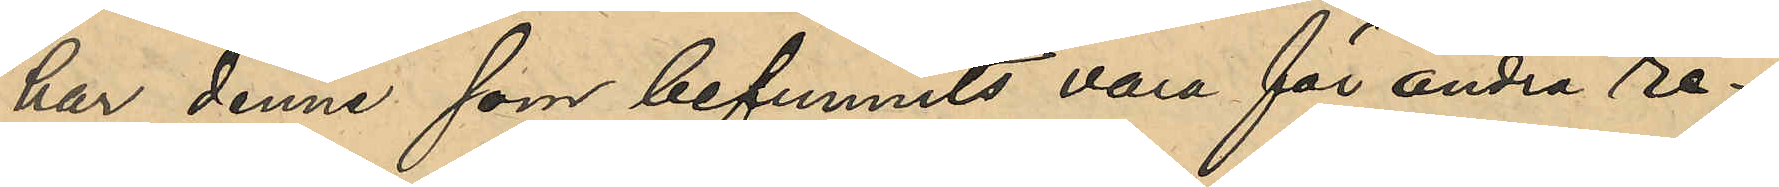har denne som befunnits vara för andra re¬
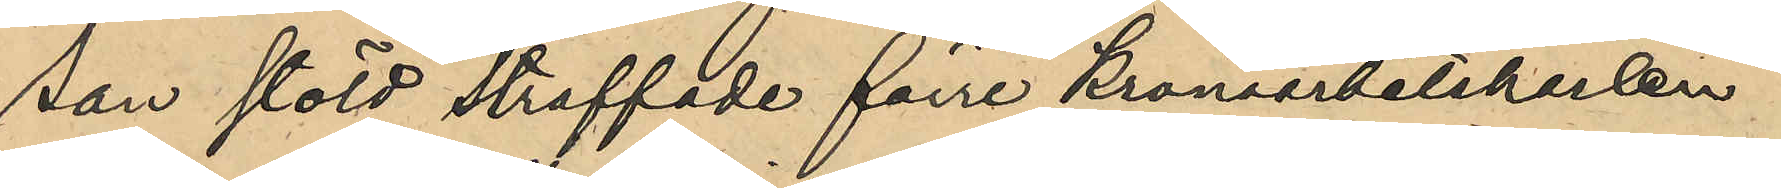san stöld straffade förre Kronoarbetskarlen
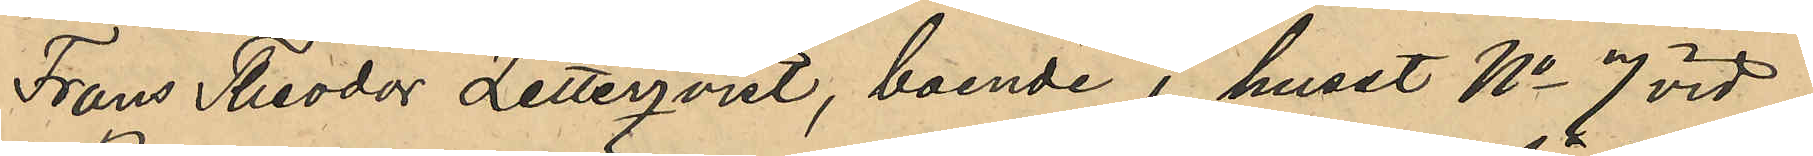Frans Theodor Zetterqvist, boende i huset No 7 vid
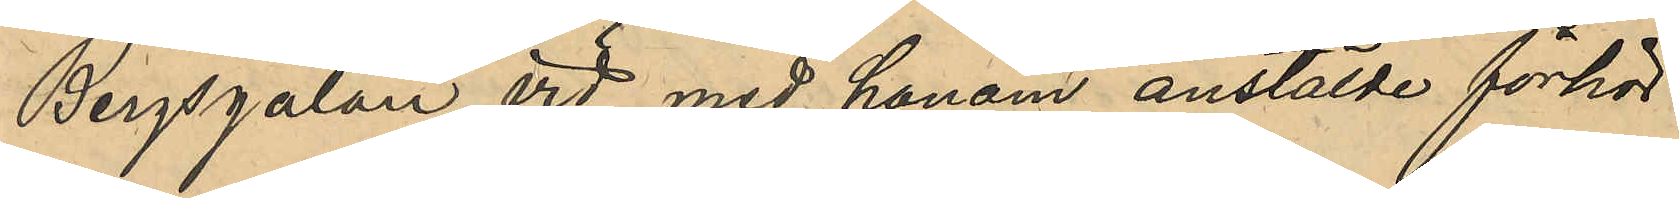Bergsgatan, vid med honom anstälde förhör
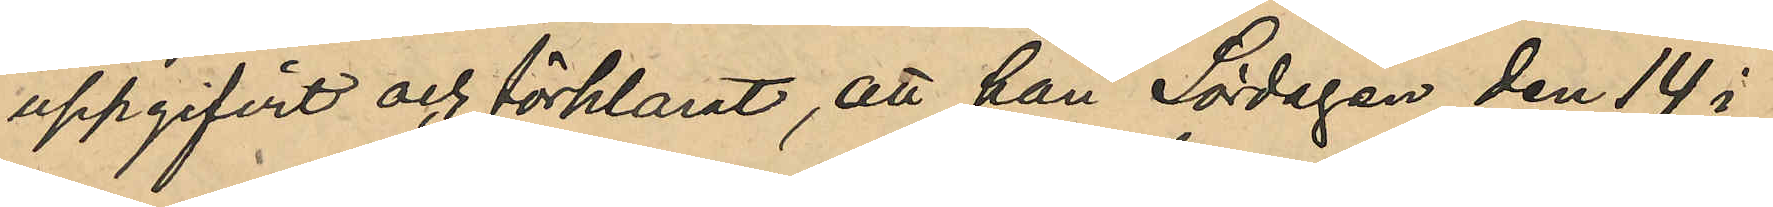uppgifvit och förklarat, att han Lördagen den 14 i
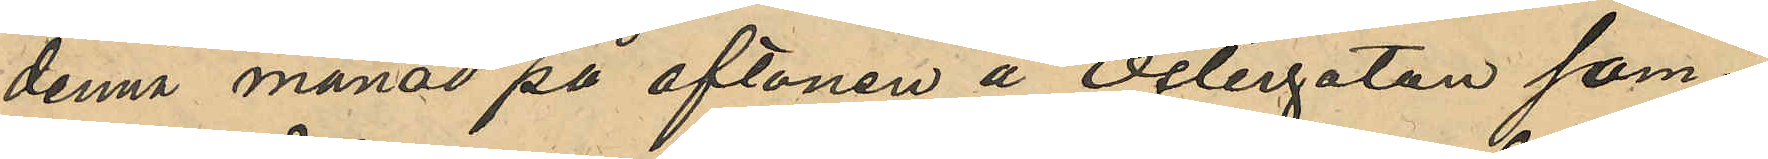denna månad på aftonen å Östergatan sam¬
